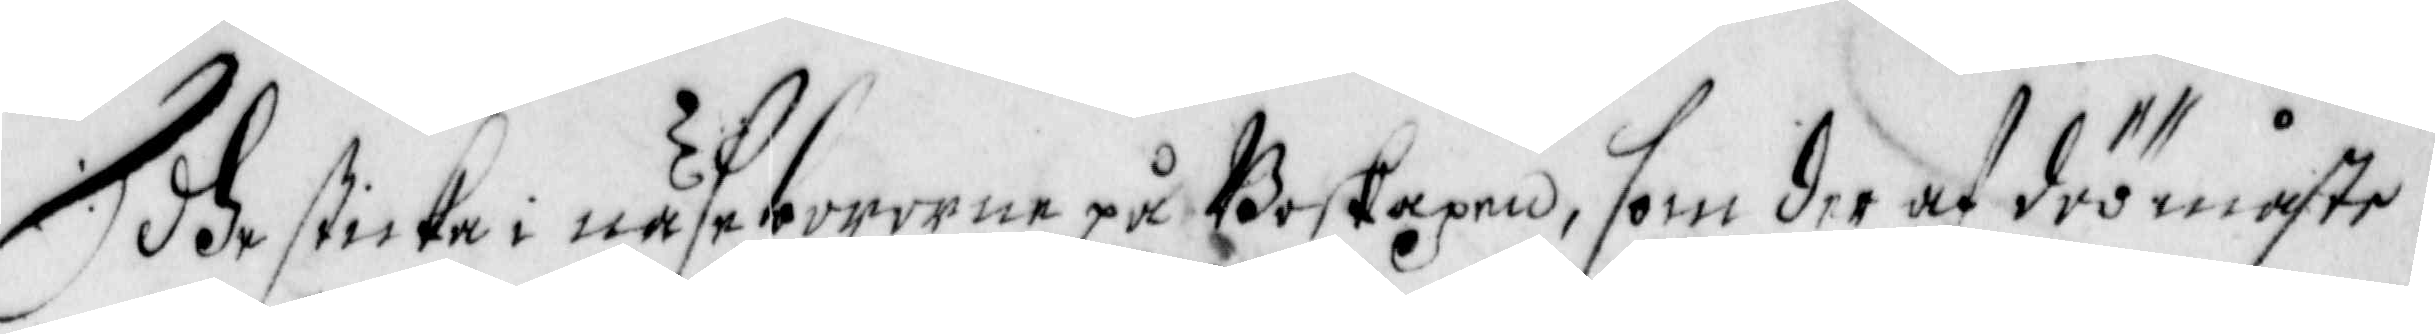dhe sticka i näsebororne på Boskapen, som der af döö måste.
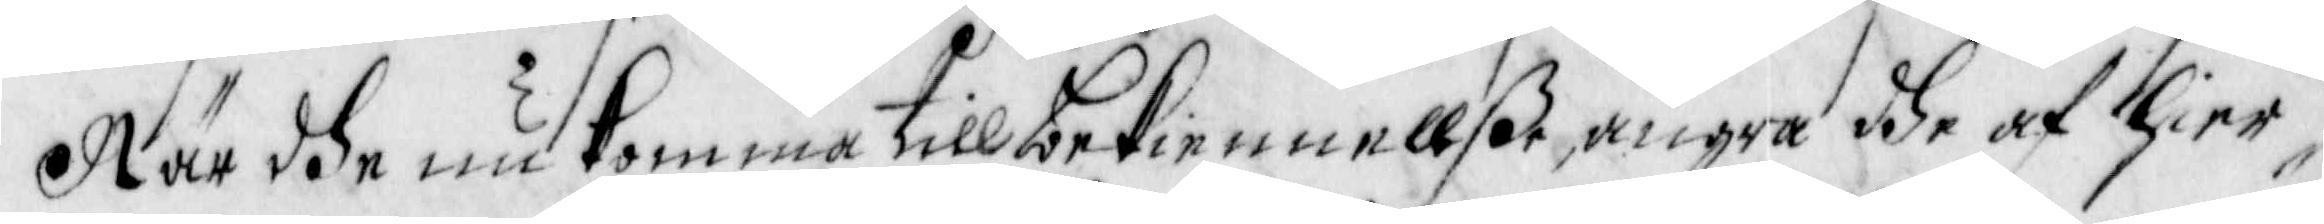När dhe nu komma till bekiennellße, ångra dhe af Hier¬
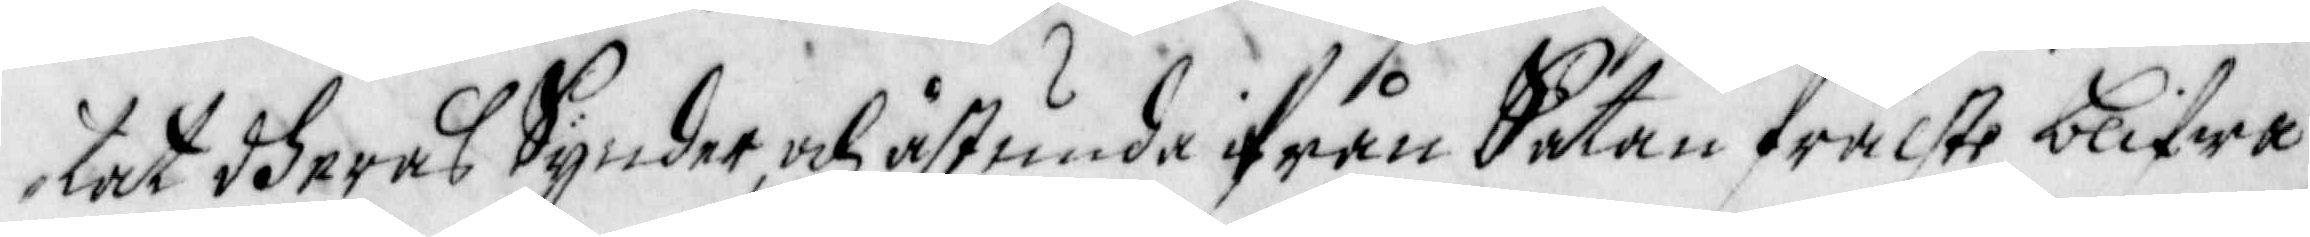tat dheras Synder, och åstunda ifrån Satan frälste blifwa
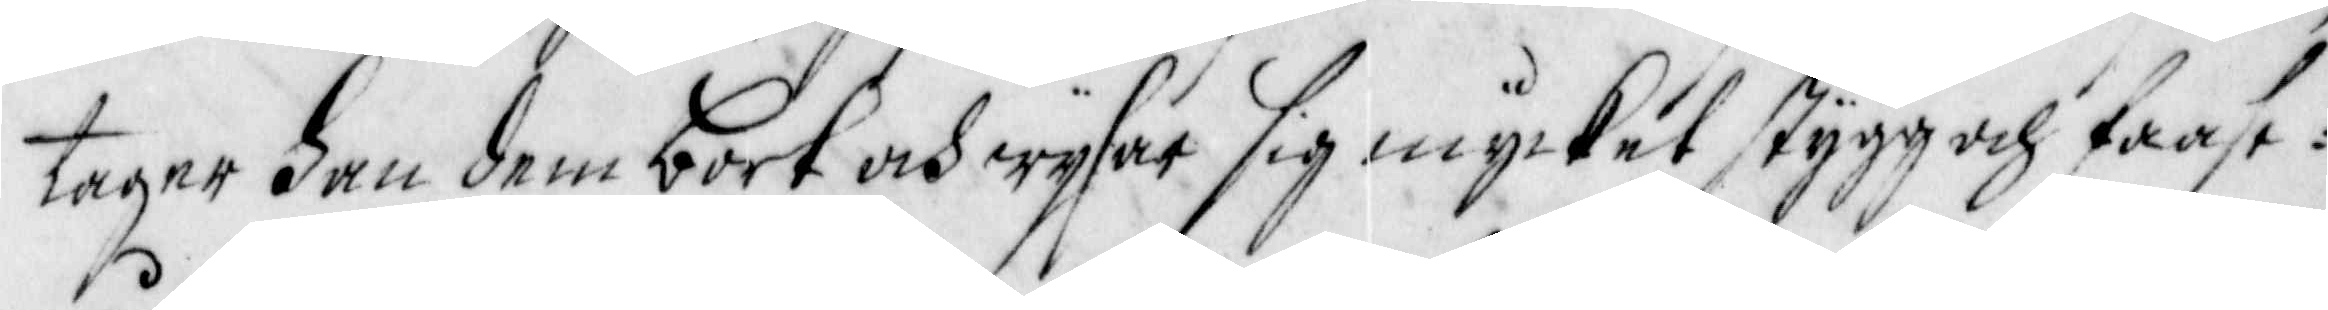tager han dem bort och wysar sig mycket stygg och faasw¬
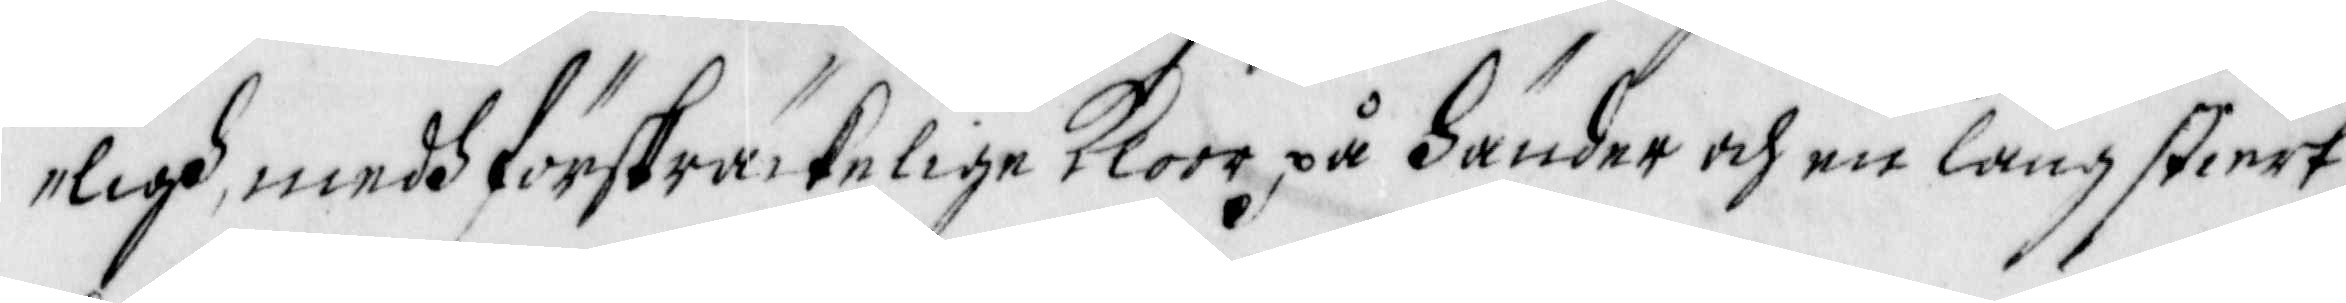ligh, medh förskräckelige Kloor på Händer och en lång stiert,
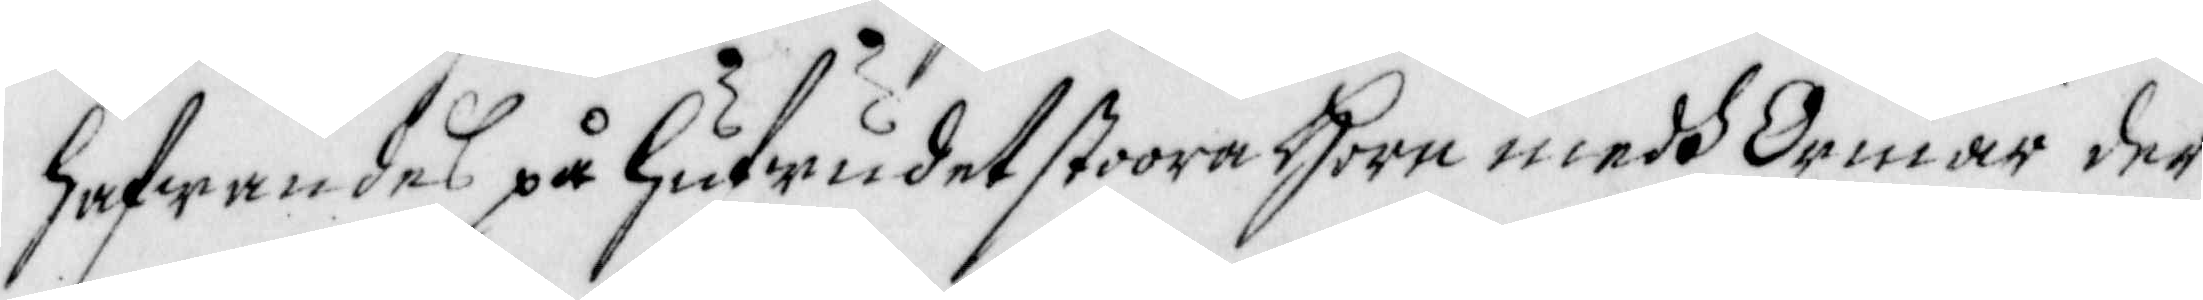hafwandes på hufwudet stoora horn medh Ormar der
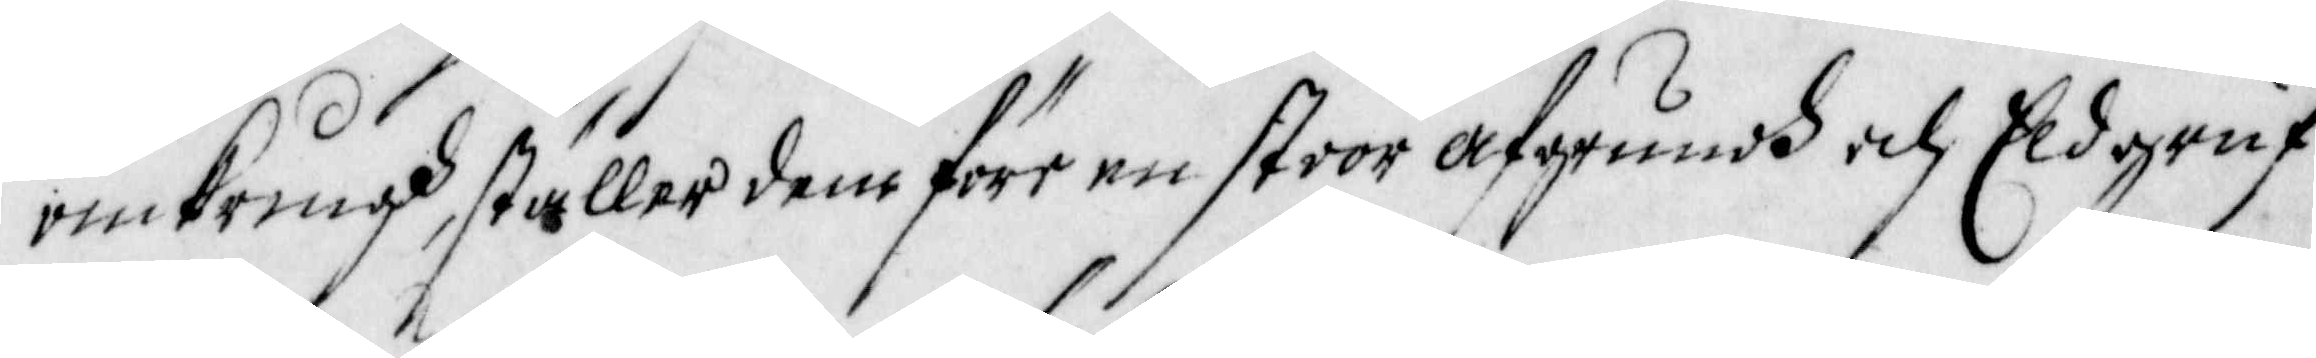omkringh, ställer dem före en stoor afgrundh och Eldgruf¬
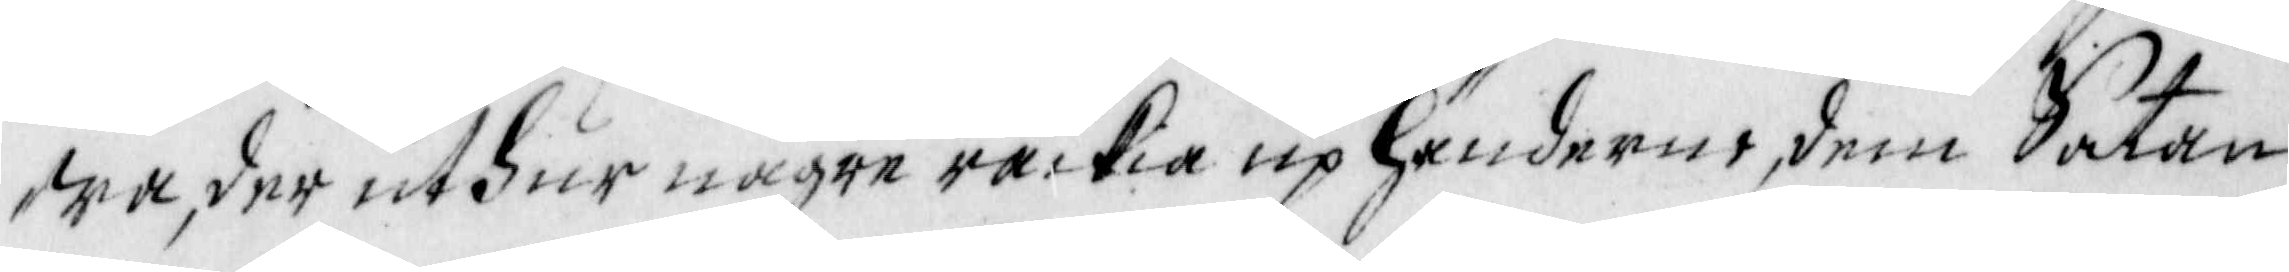wa, der uthur någre räckia up händerne, dem Satan
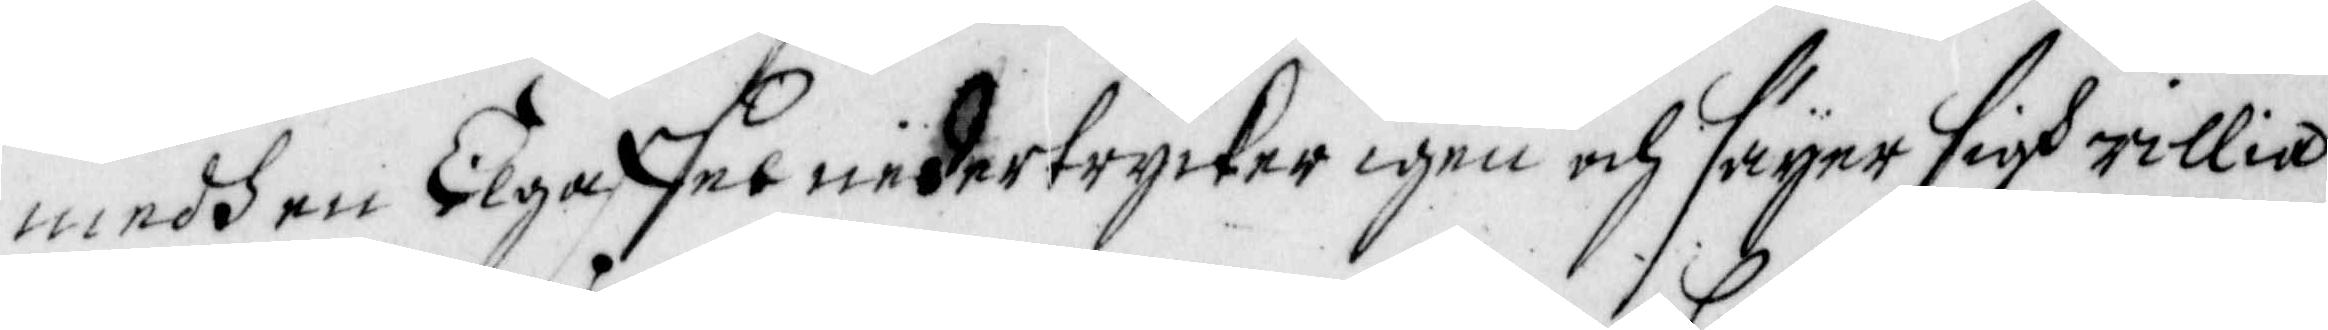medh en Elgaffel nedertrycker igen och säyer sigh willia
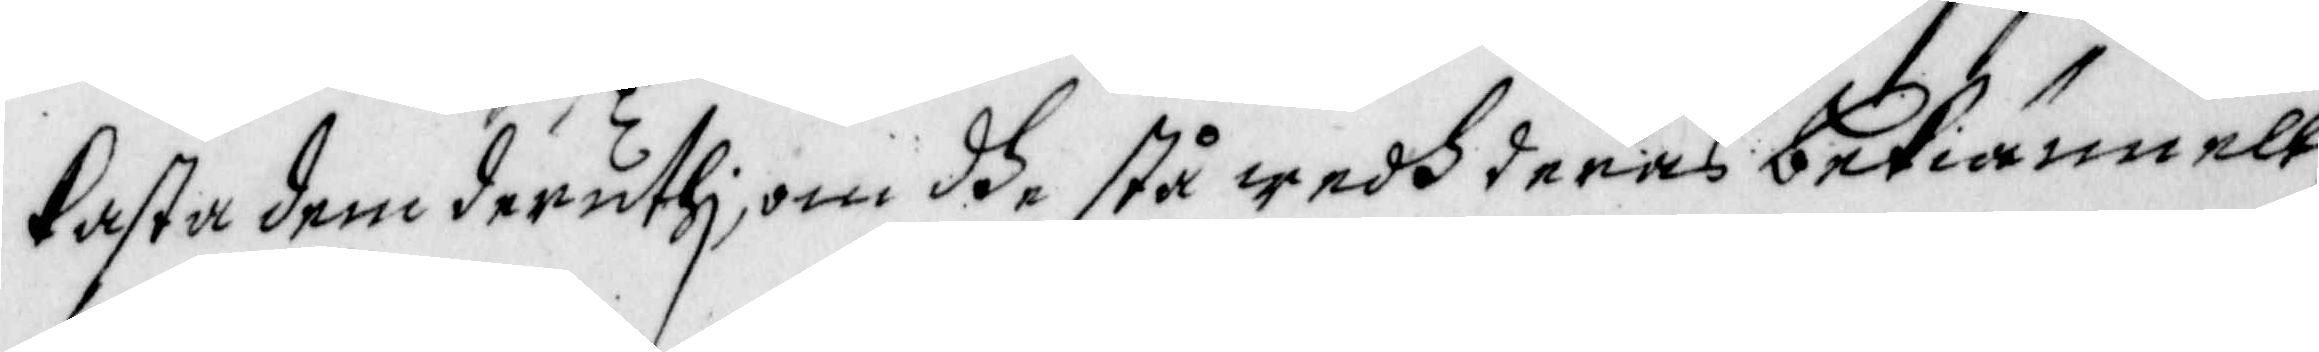kasta dem deruthi, om dhe stå wedh deras bekiännell¬
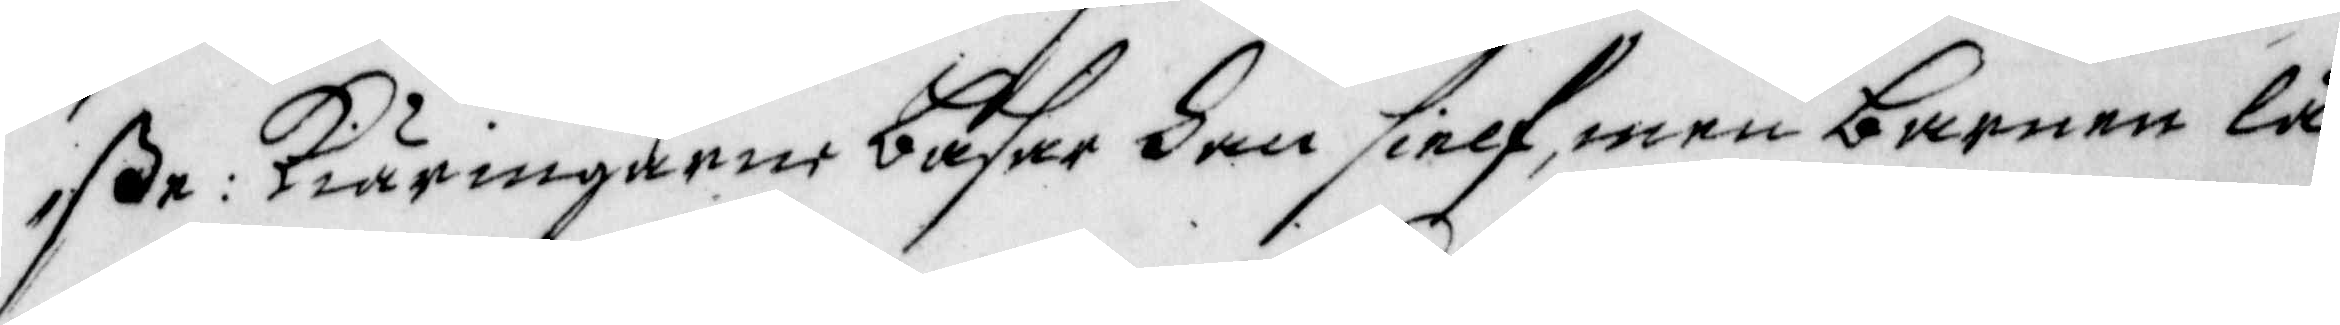ße: Kiäringarne bähre han sielf, men barnen lå¬
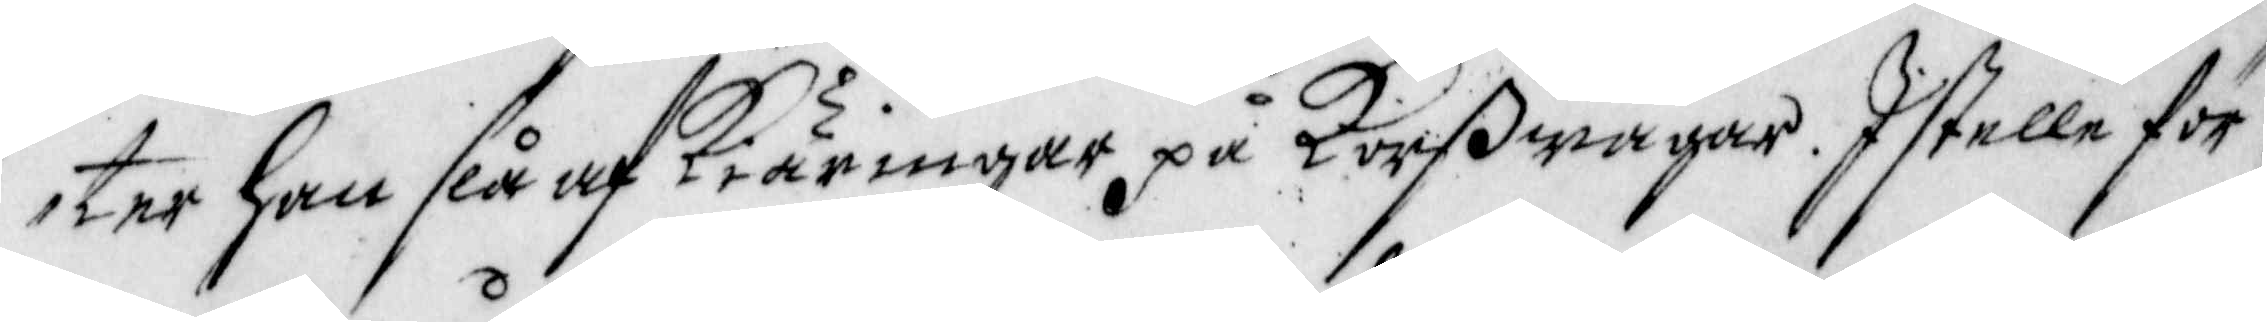ter han slå af Kiäringar på Korßwägar. Istelle för
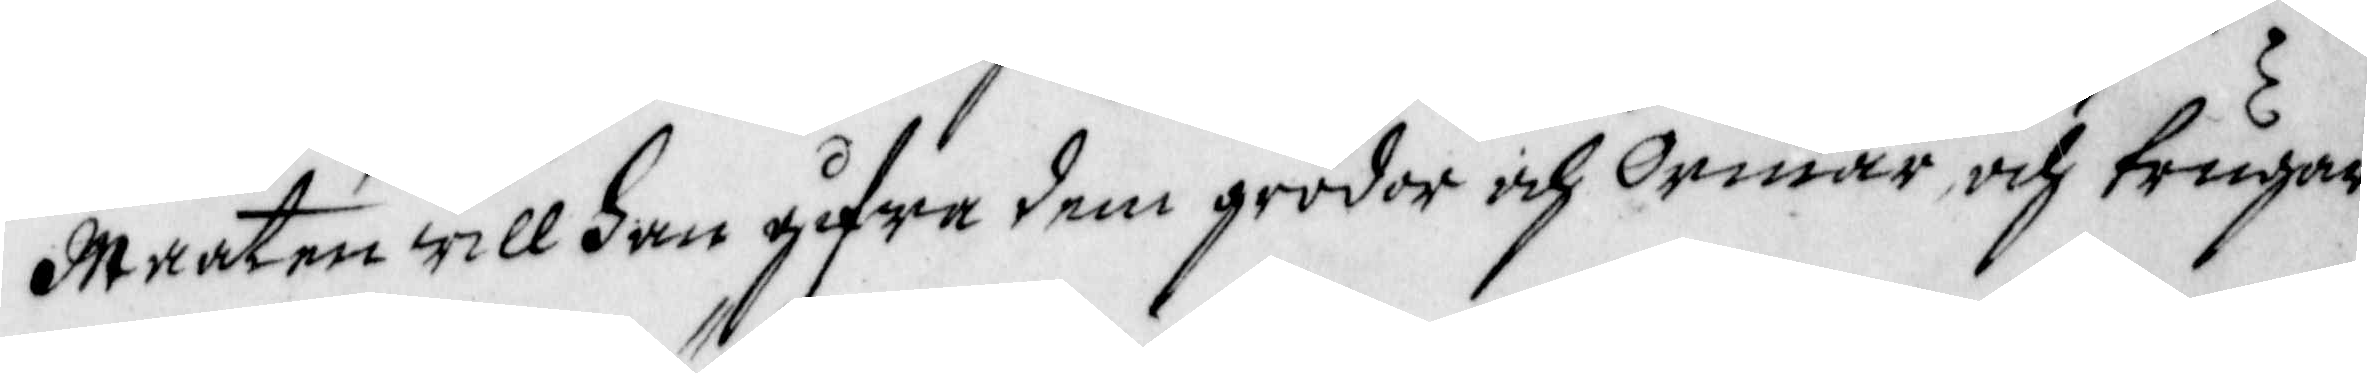maaten will han gifwa dem grodor och Ormar och trugar
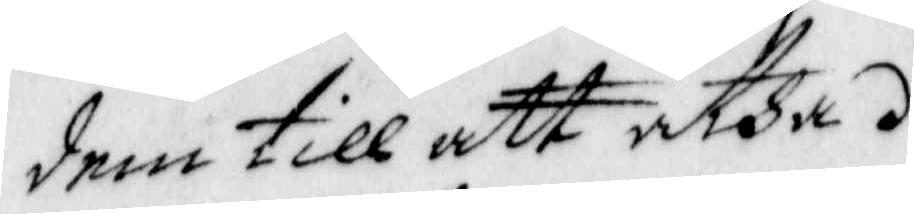dem till att ätha.
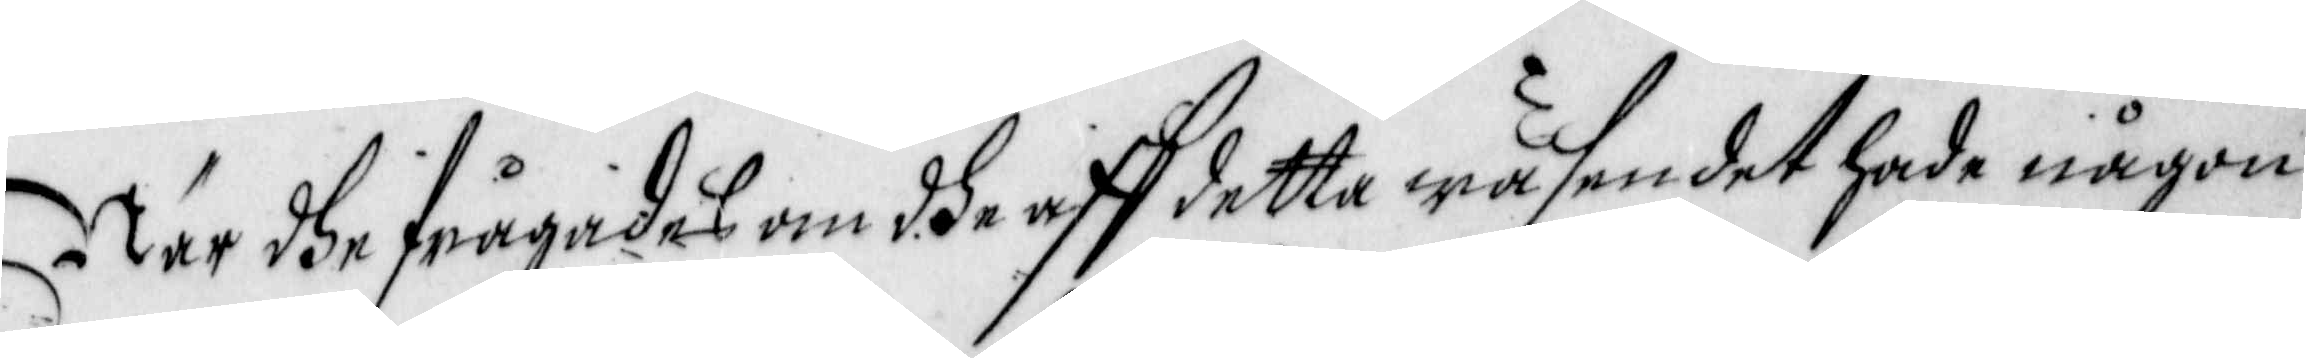När dhe frågades om dhe aff detta wäsendet hade någon
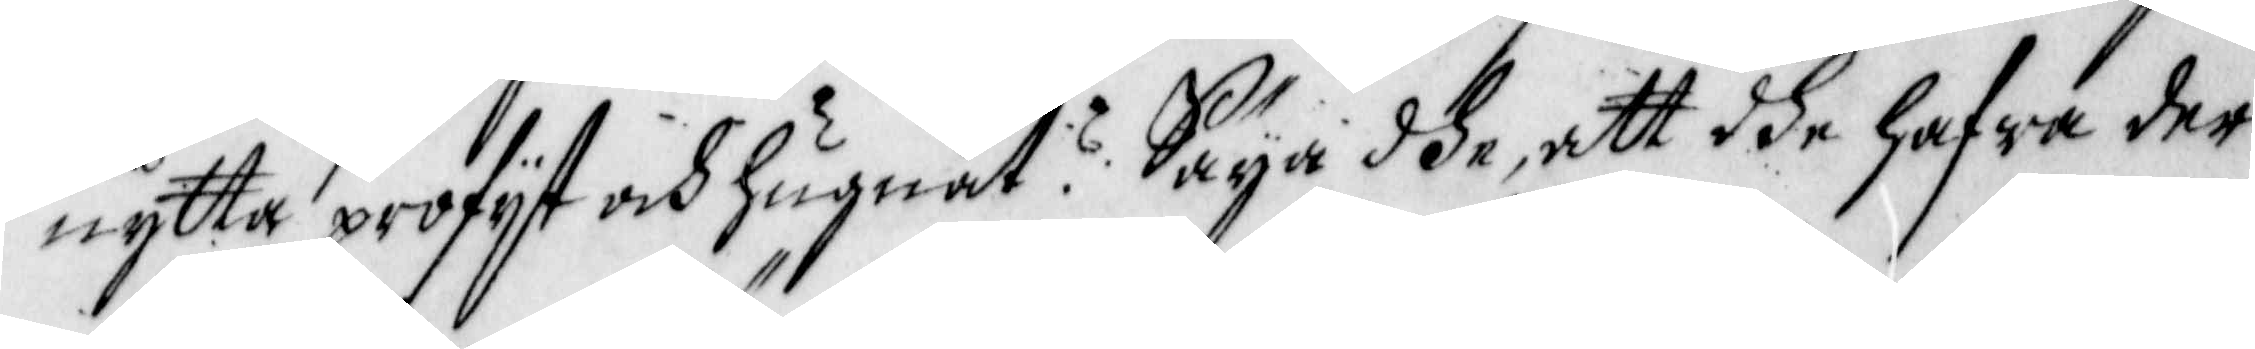nytta, profyt och hugnat? Säya dhe, att dhe hafwa der
